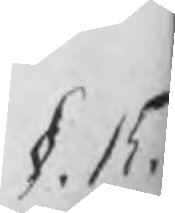§. 15.
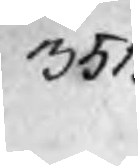351.
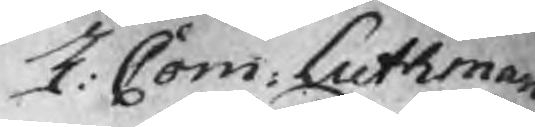H: Com: Luthman
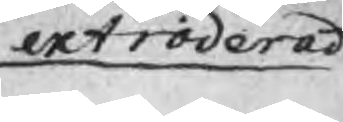extraderat
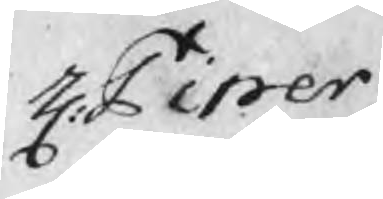H: Piper.
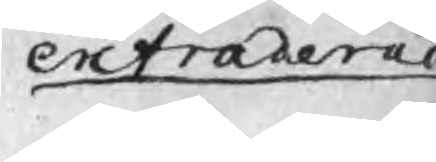extraderat
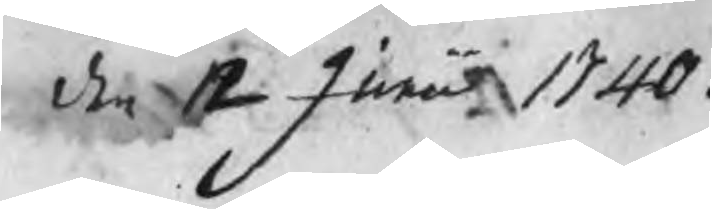den 12 Junii 1740.
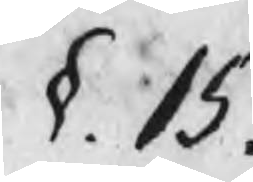§. 15.
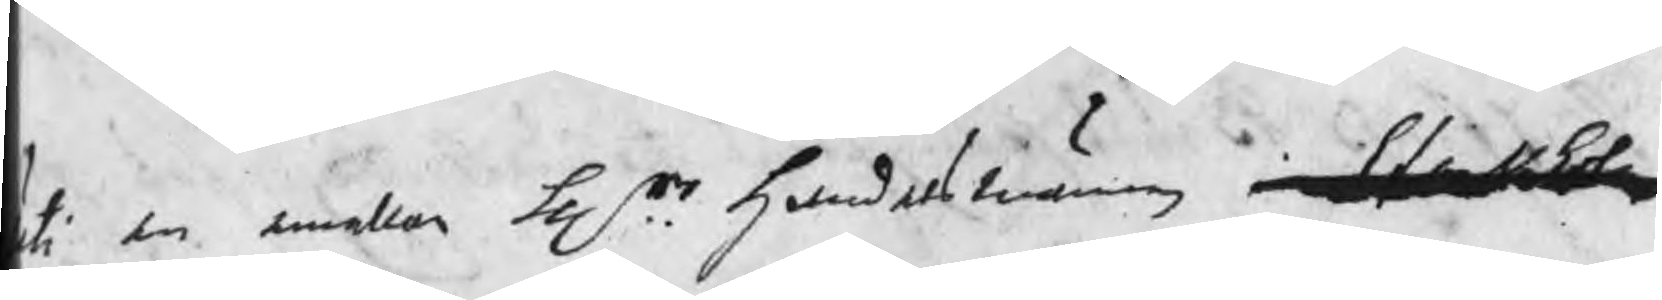uti den emellan Hrr handelsmännen i Stockholm
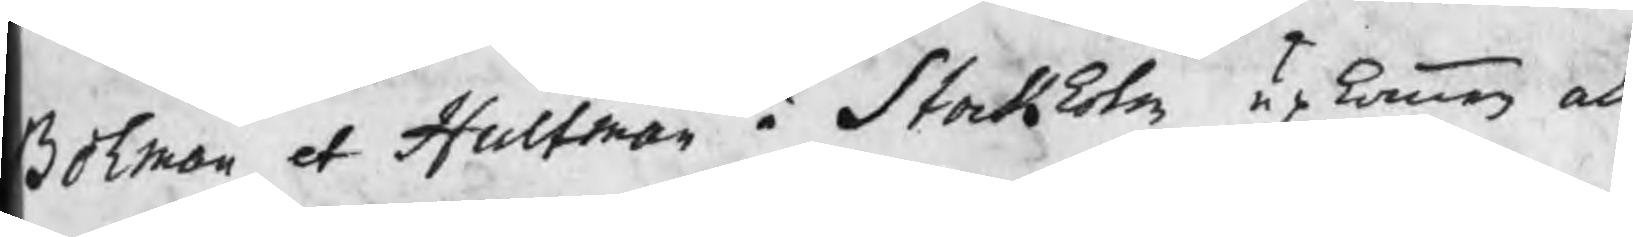Bohman et Hultman i Stockholm upkommen och
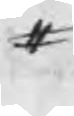#
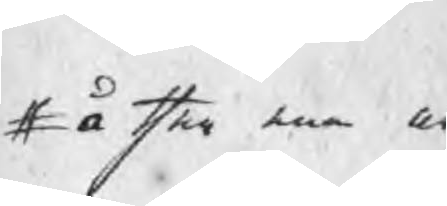# å then ena och
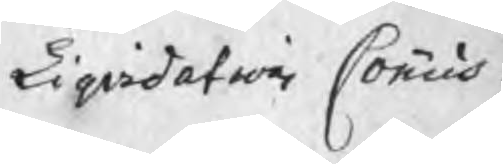Liqvidations Commis¬
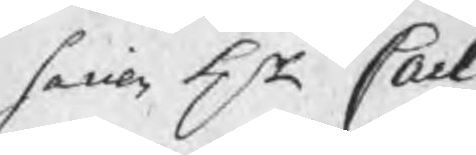sarien Hr Carl
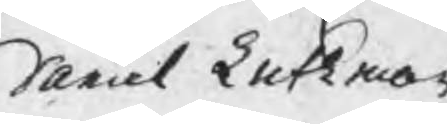Daniel Luthman
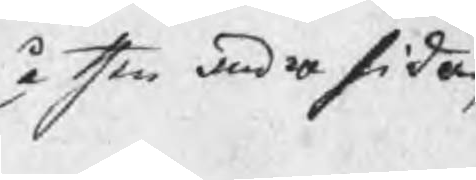å den andra sidan
